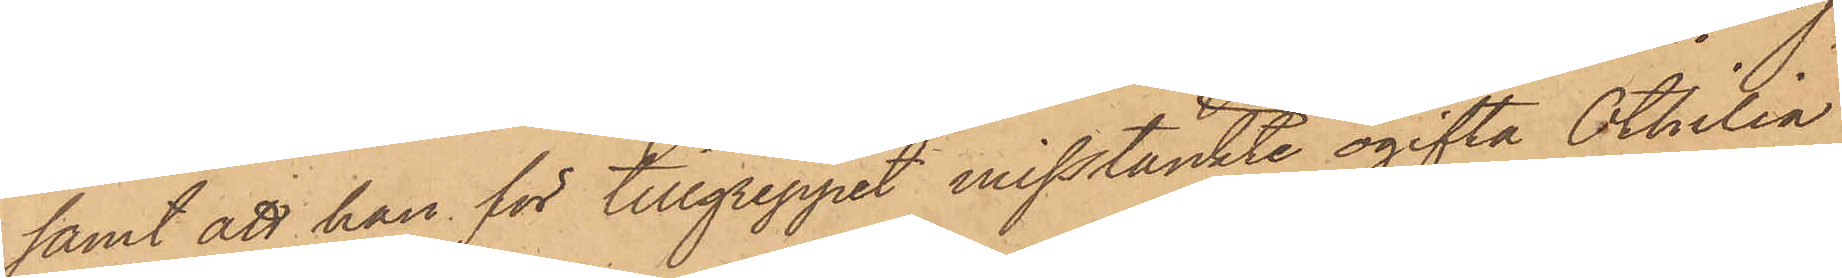samt att han för tillgreppet misstänkte ogifta Othilia
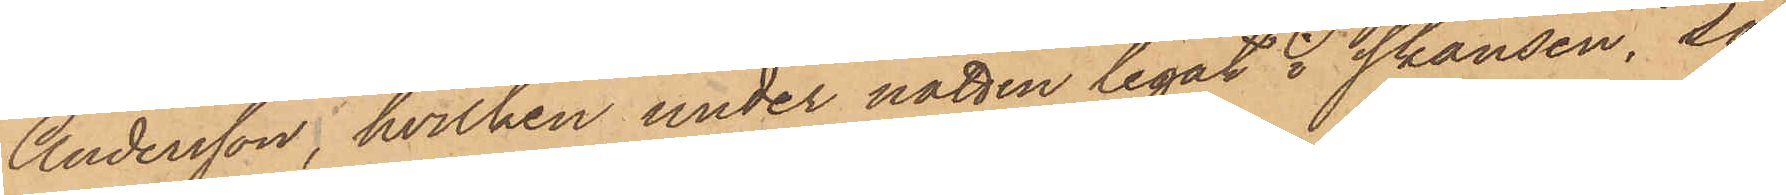Andersson, hvilken under natten legat i skansen, så
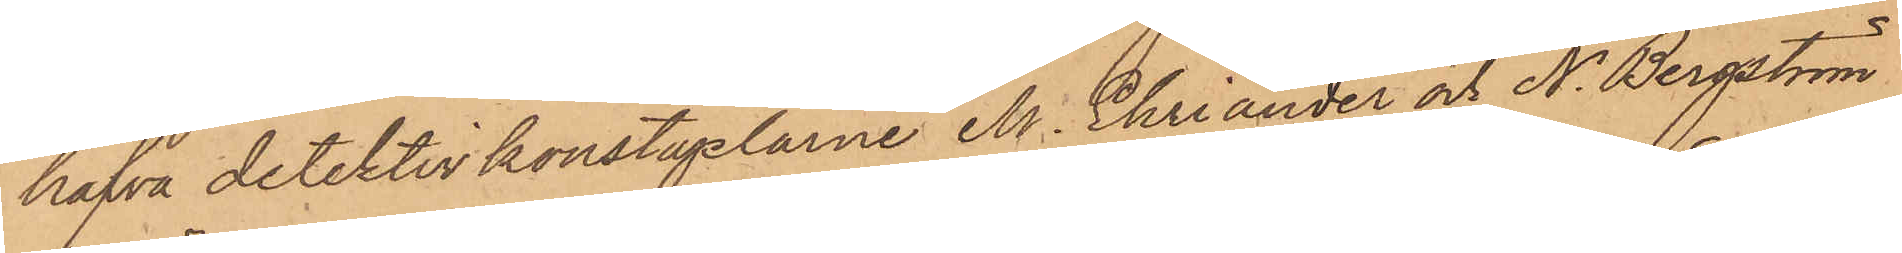hafva detektivkonstaplarne M. Ehriander och N. Bergström,
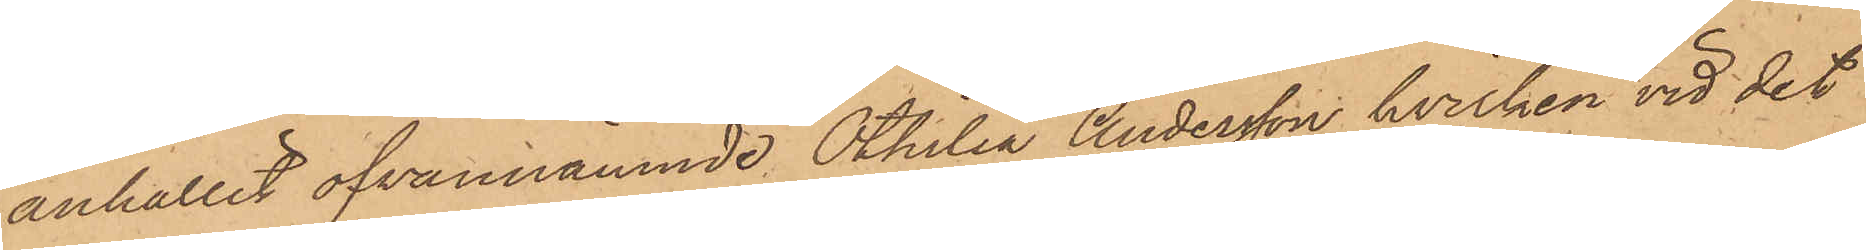anhållit ofvannämnde Othilia Andersson, hvilken vid det
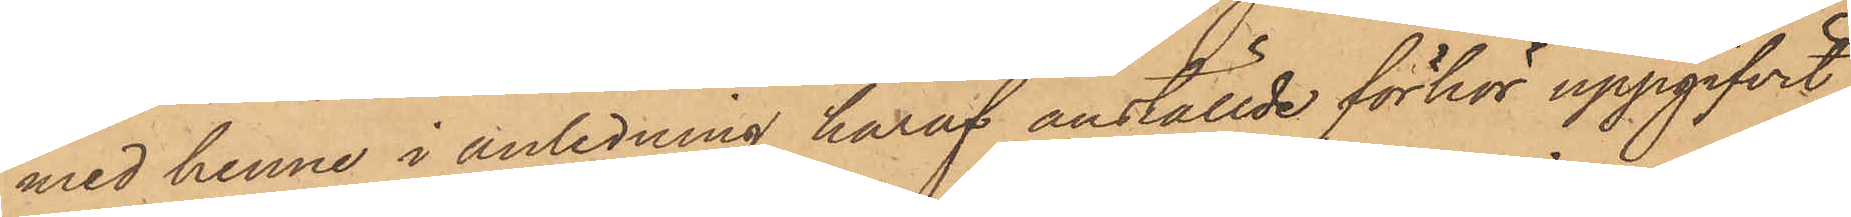med henne i anledning häraf anställde förhör uppgifvit,
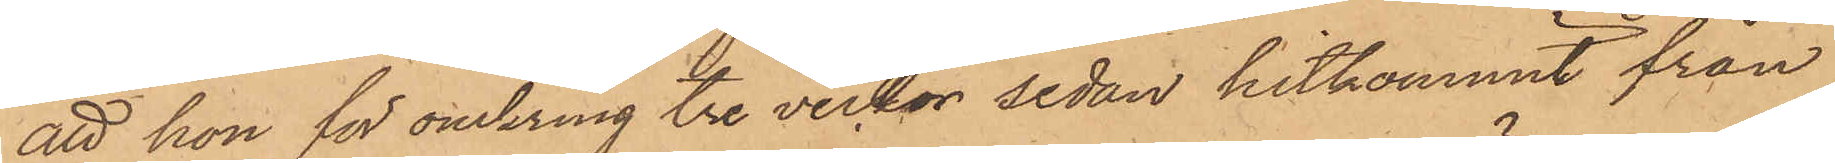att hon för omkring tre veckor sedan hitkommit från
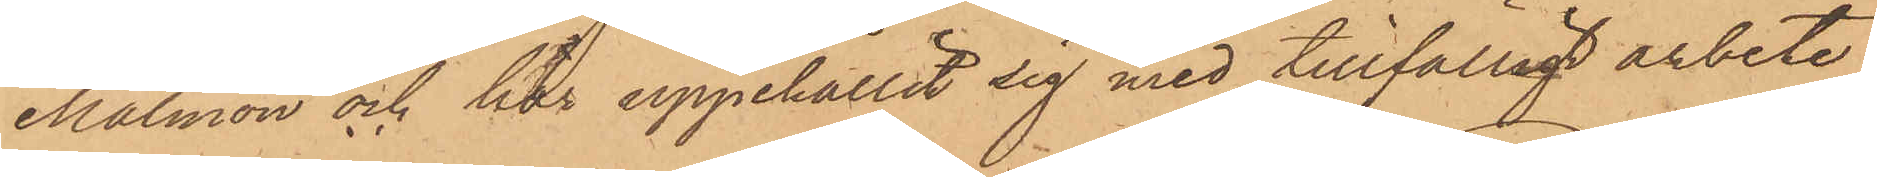Malmön och här uppehållit sig med tillfälligt arbete,
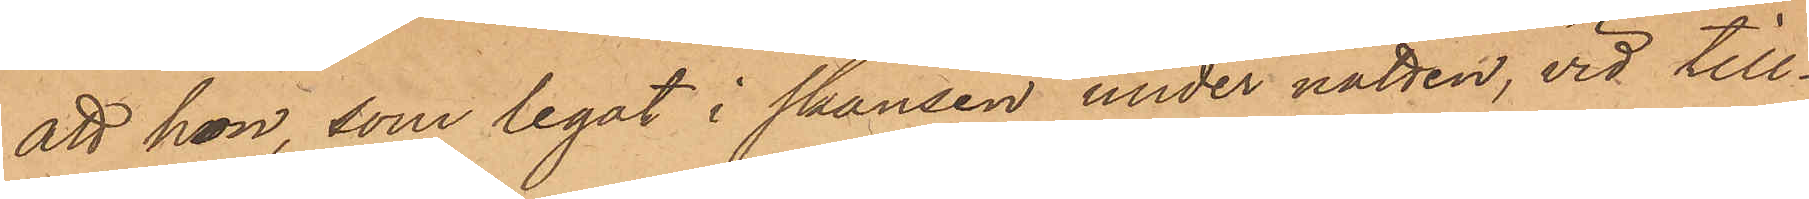att hon, som legat i skansen under natten, vid till¬
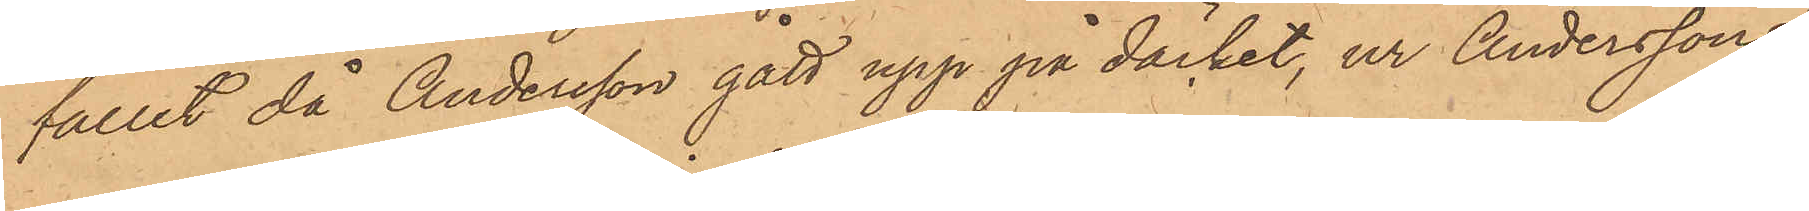fälle, då Andersson gått upp på däcket, ur Anderssons
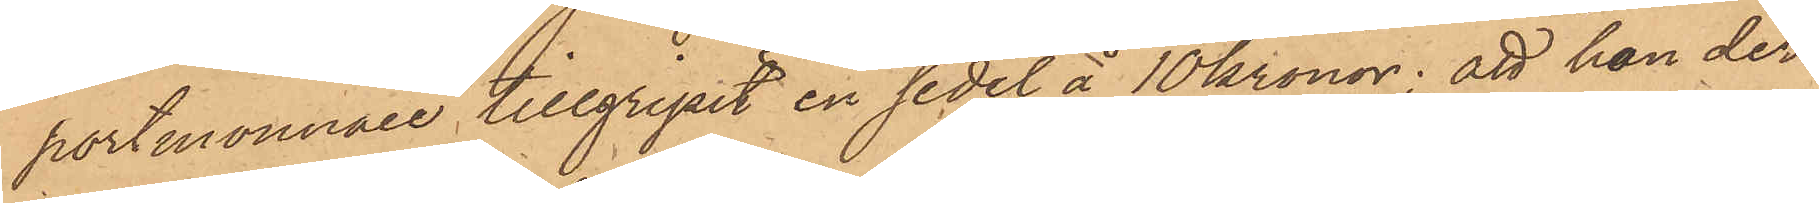portmonnaie tillgripit en sedel å 10 kronor; att hon der¬
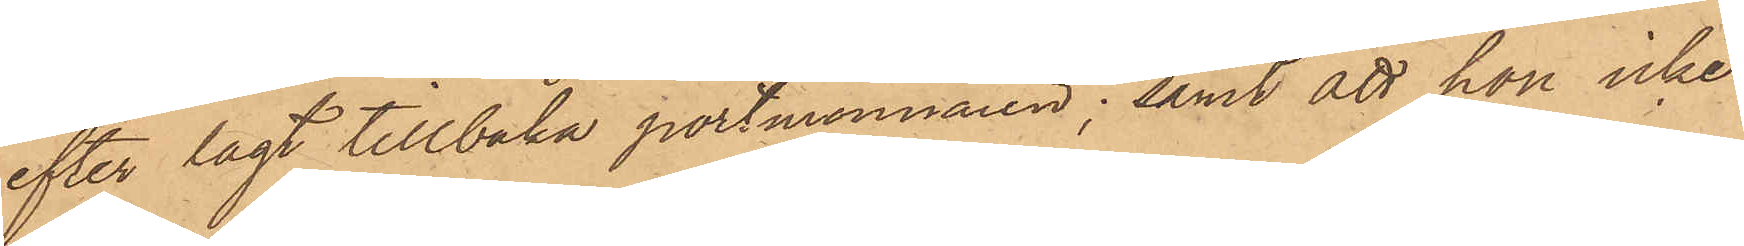efter lagt tillbaka portmonnaien; samt att hon icke
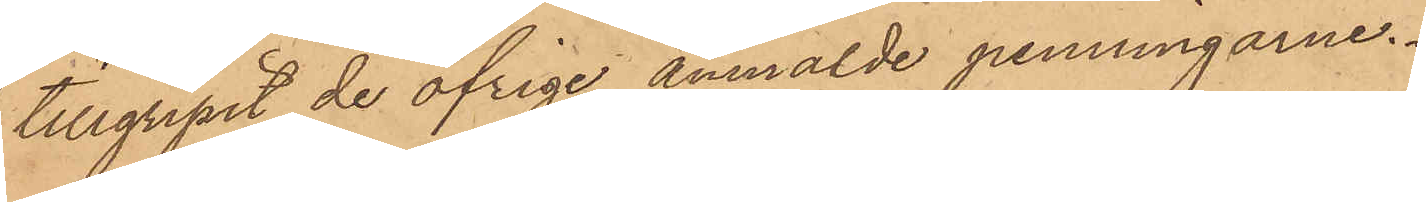tillgripit de öfrige anmälde penningarne.
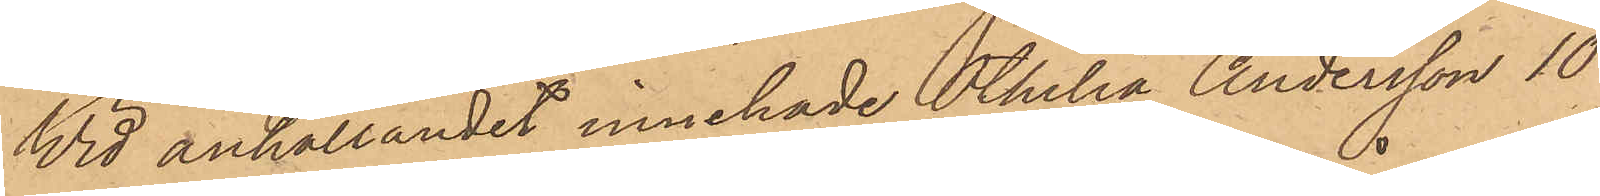Wid anhållandet innehade Othilia Andersson 10
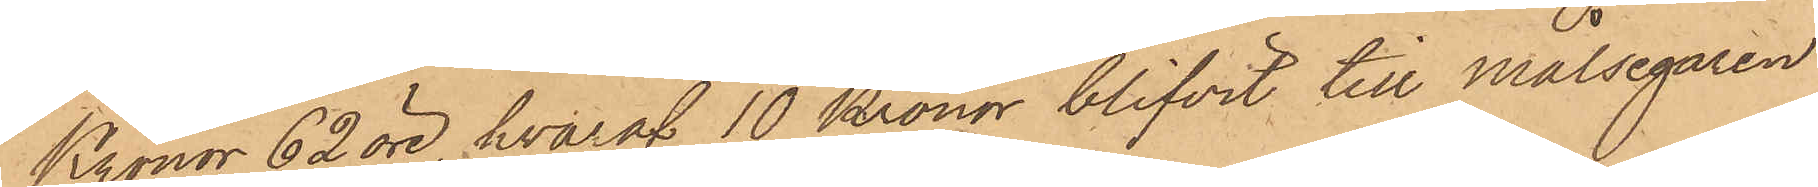Kronor 62 öre, hvaraf 10 Kronor blifvit till målsegaren
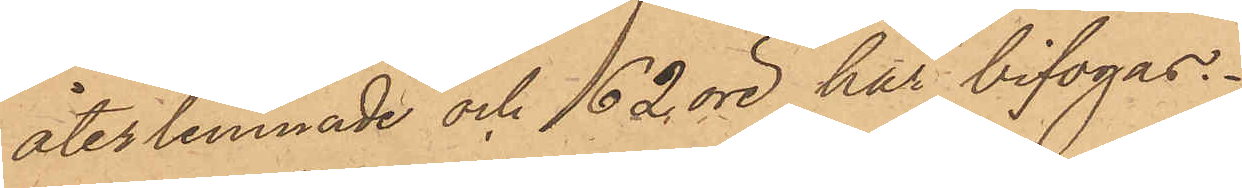återlemnade och 62 öre här bifogas.
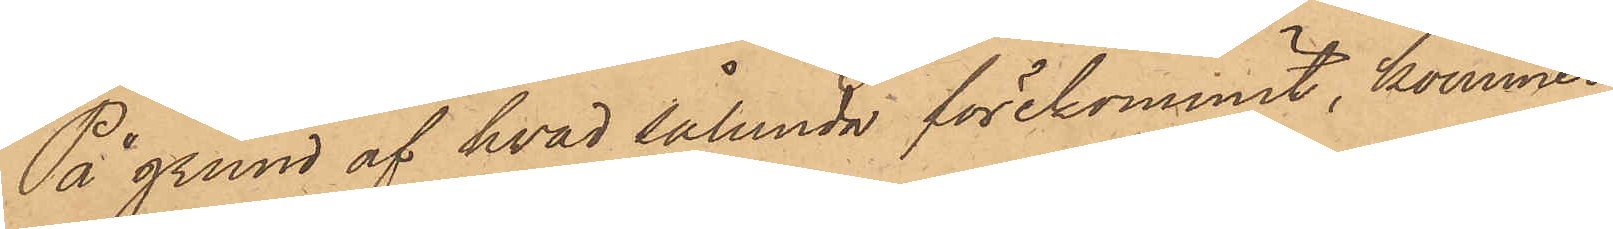På grund af hvad sålunda förekommit, kommer
